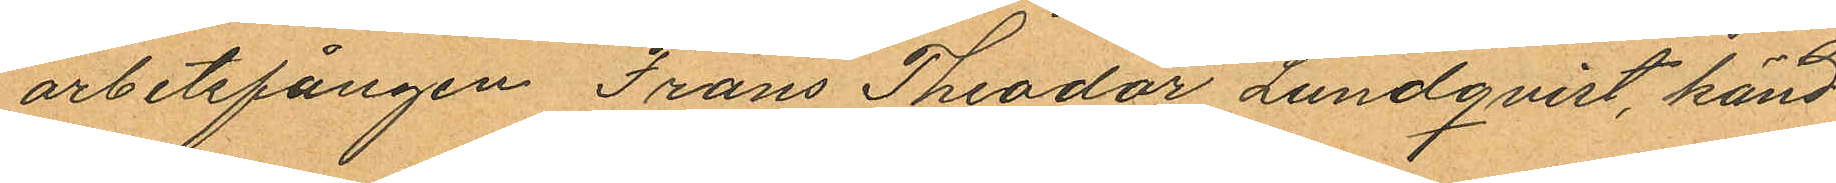arbetsfången Frans Theodor Lundqvist, känd
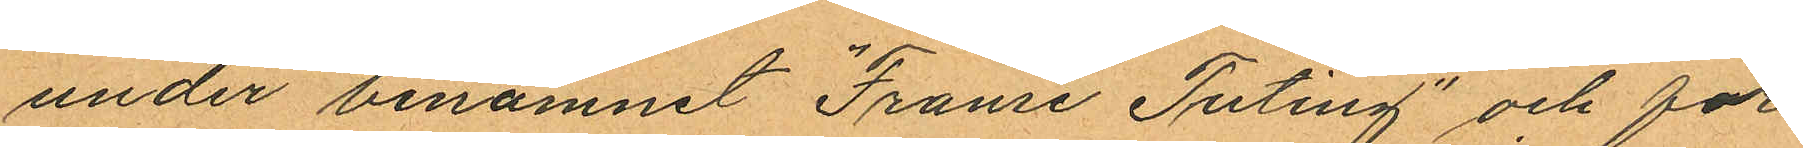under binamnet "Franse Tuting" och för
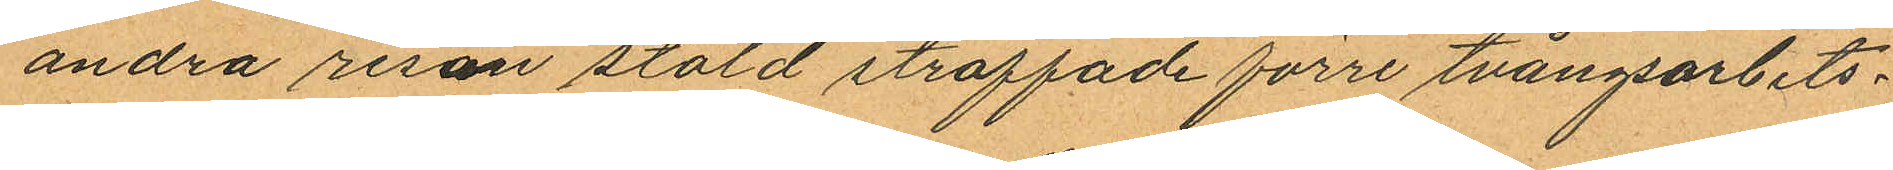andra resan stöld straffade förre tvångsarbets¬
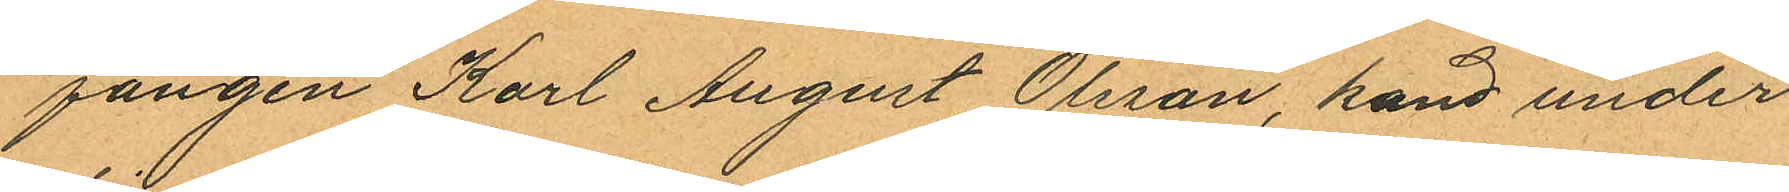fången Karl August Olsson, kand under
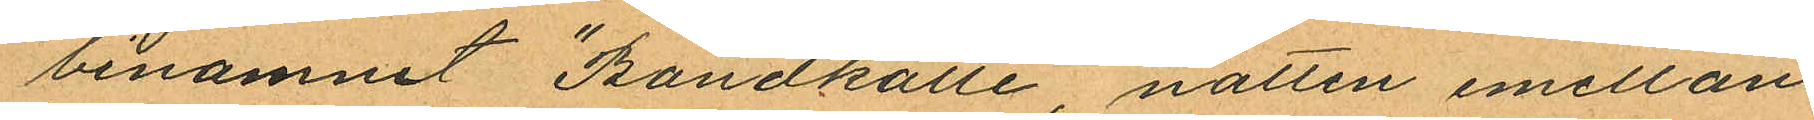binamnet "Bondkalle", natten emellan
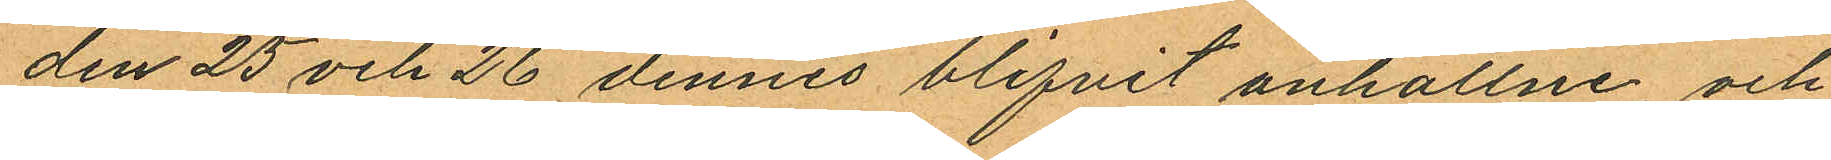den 25 och 26 dennes blifvit anhållne, och
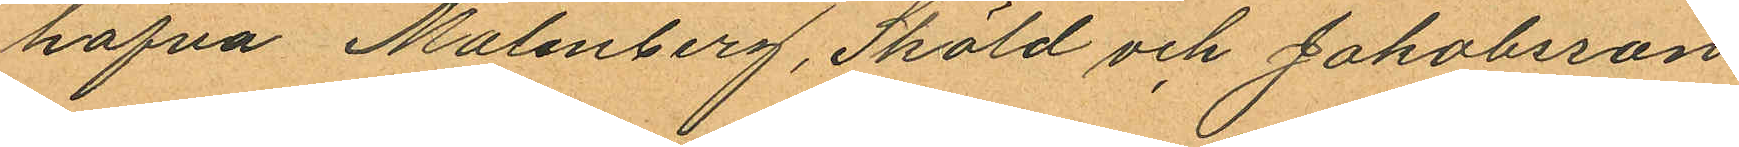hafva Malmberg, Sköld och Jakobsson
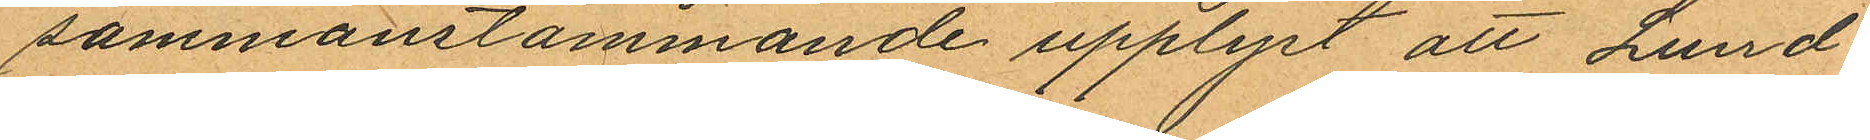sammanstämmande upplyst att Lund¬
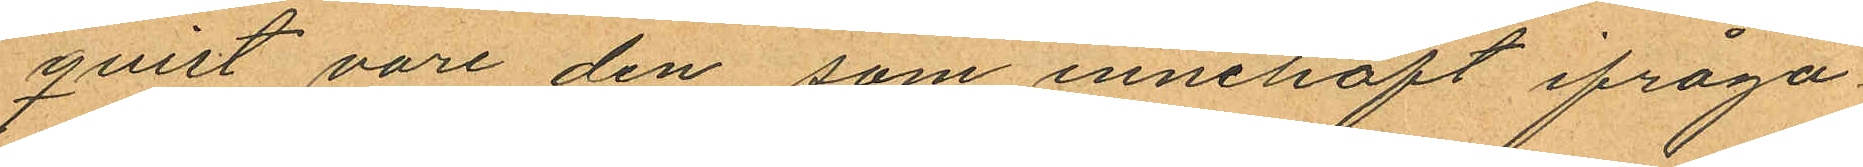quist vore den, som innehaft ifråga
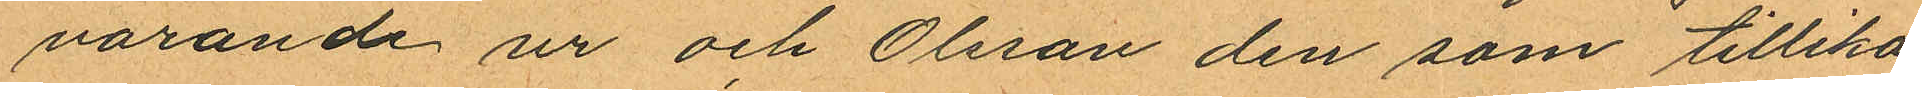varande ur och Olsson den som tillika
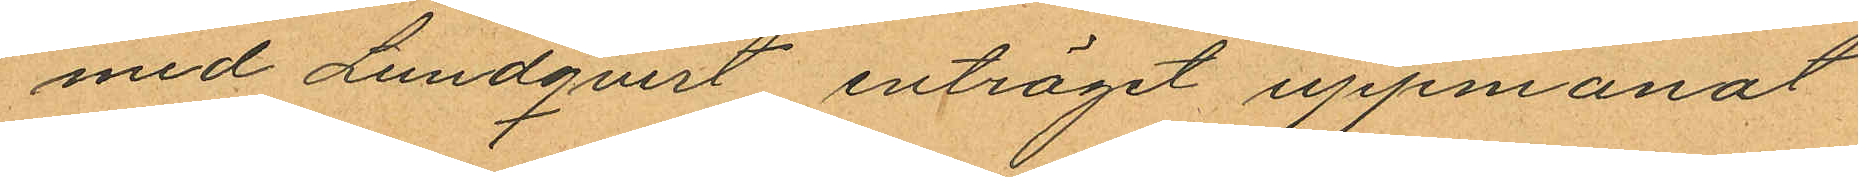med Lundqvist enträget uppmanat
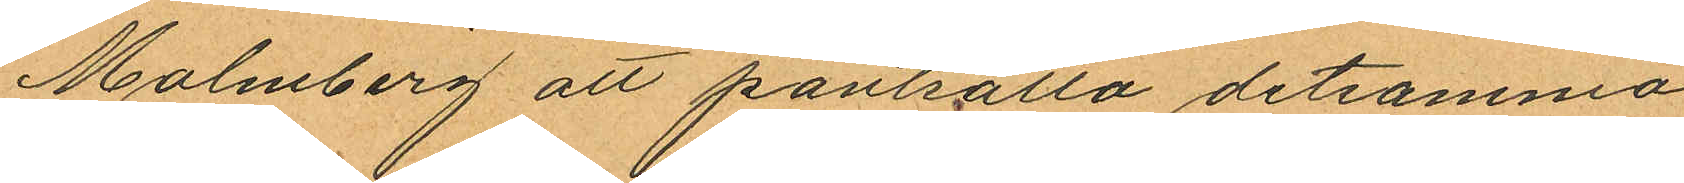Malmberg att pantsätta detsamma.
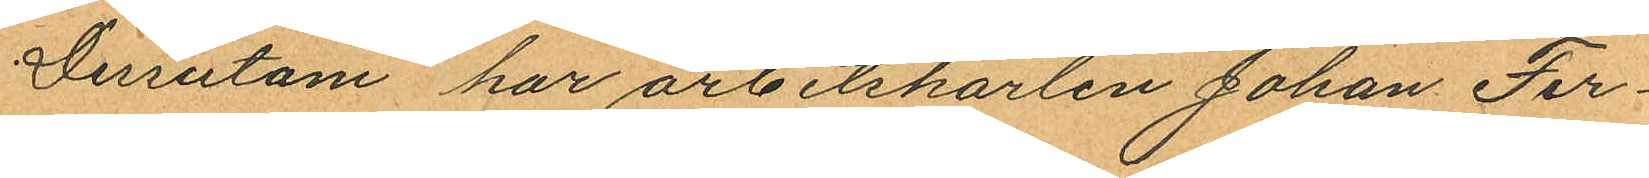Dessutom har arbetskarlen Johan Fer¬
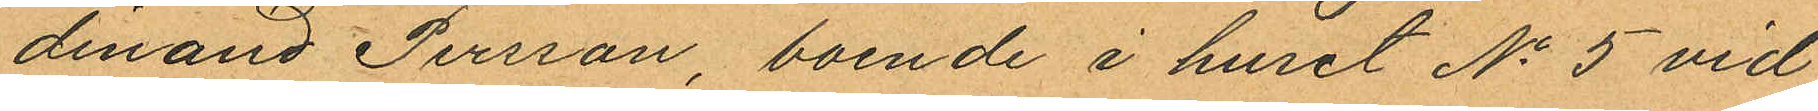dinand Persson, boende i huset No 5 vid
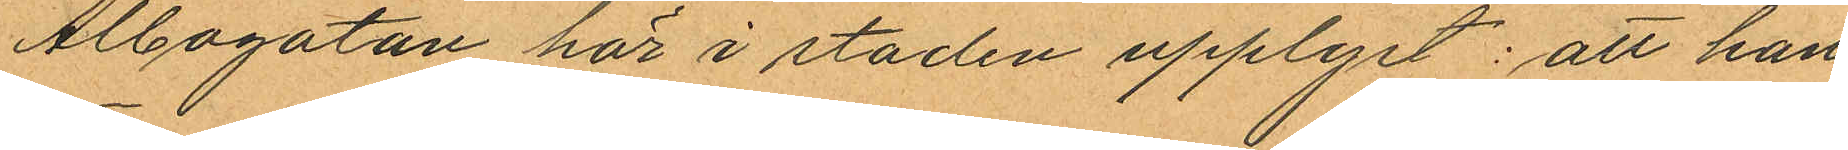Albogatan här i staden upplyst: att han
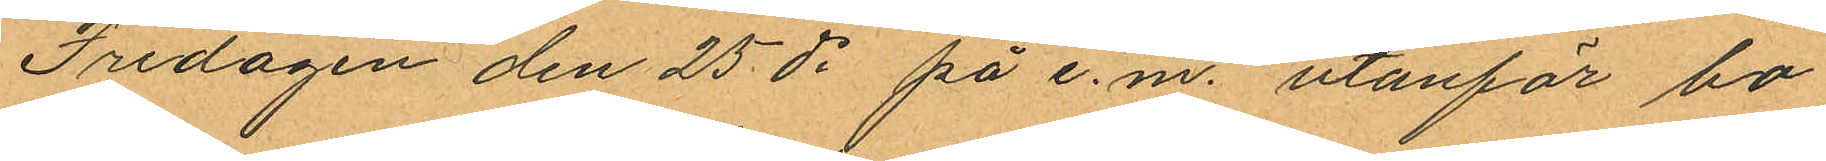Fredagen den 25 ds på e.m. utanför bo¬
